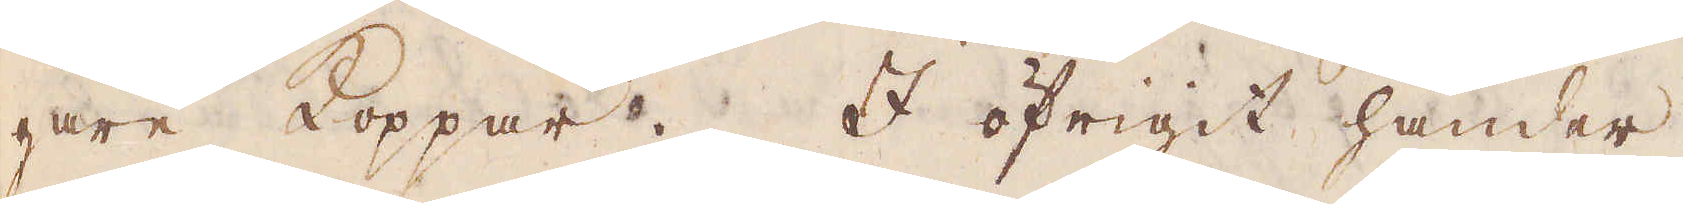gare Koppar. I öfrigit händer
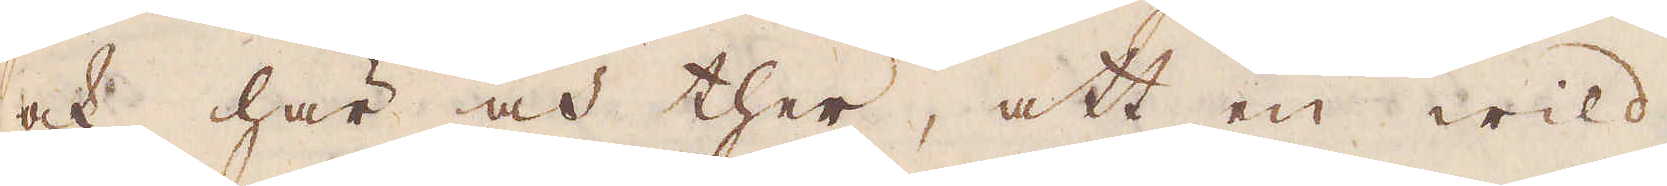ock här och ther, att en wild
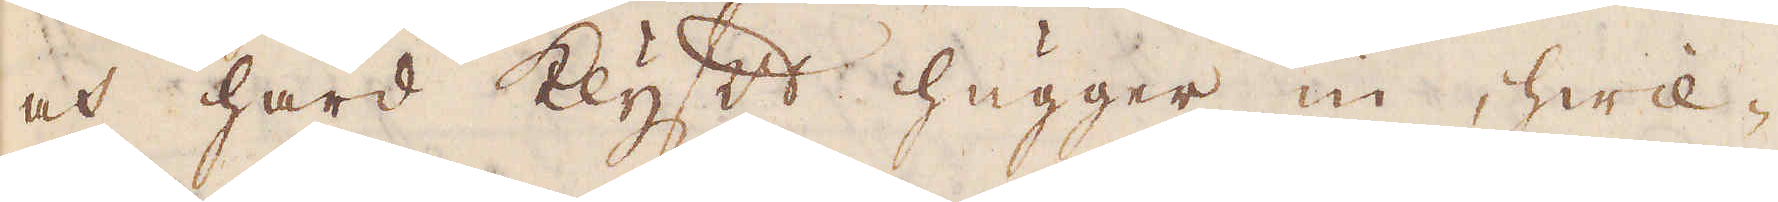och hård klyft hugger in, hwil-
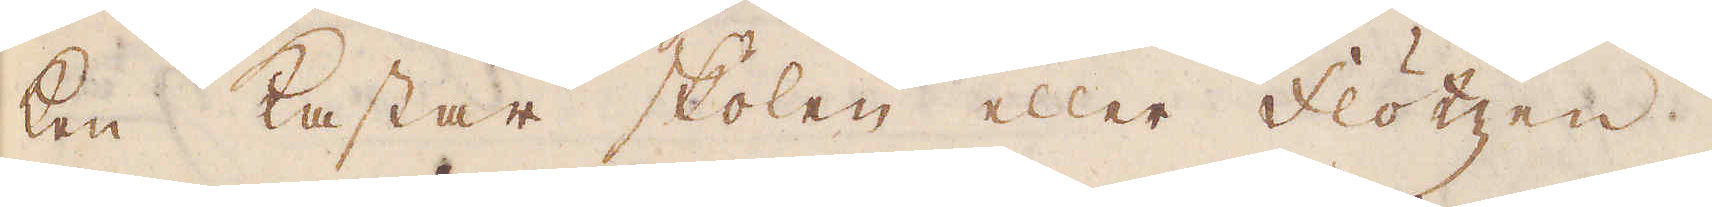ken kastar skolen eller flötzen
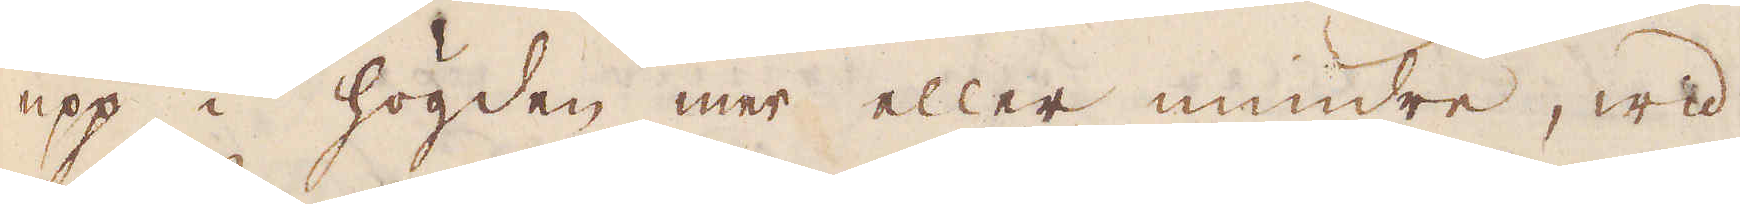upp i högden mer eller mindre, wid
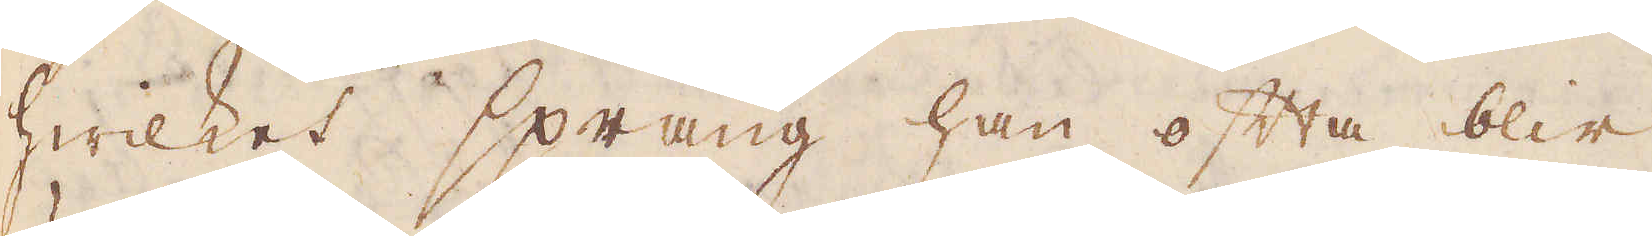hwilket språng han ofta blir
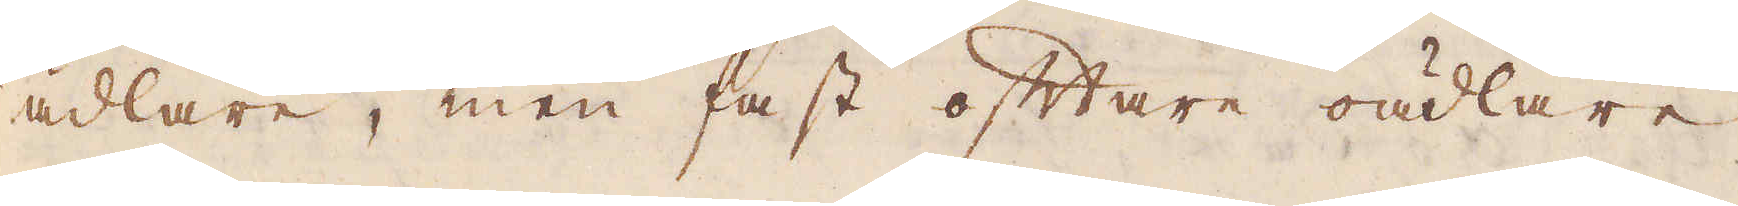ädlare, men fast oftare oädlare;
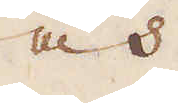och
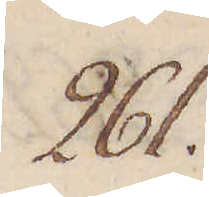261.
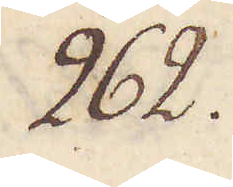262.
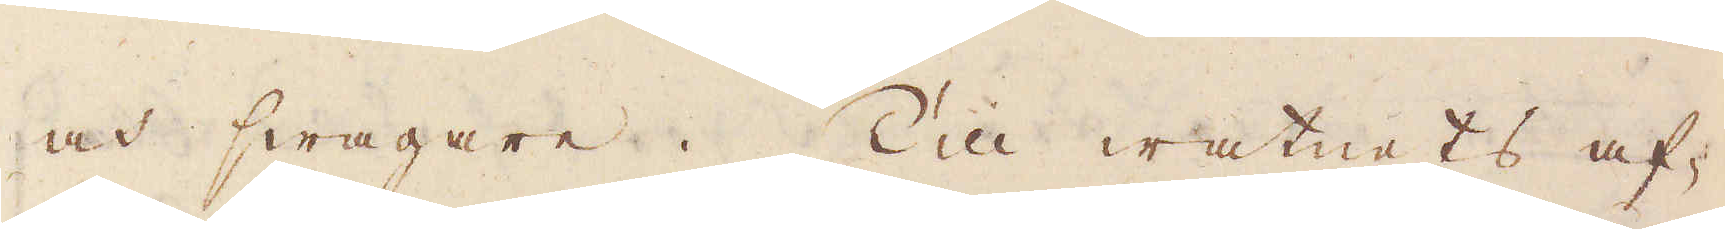och swagare. Till watnets af-
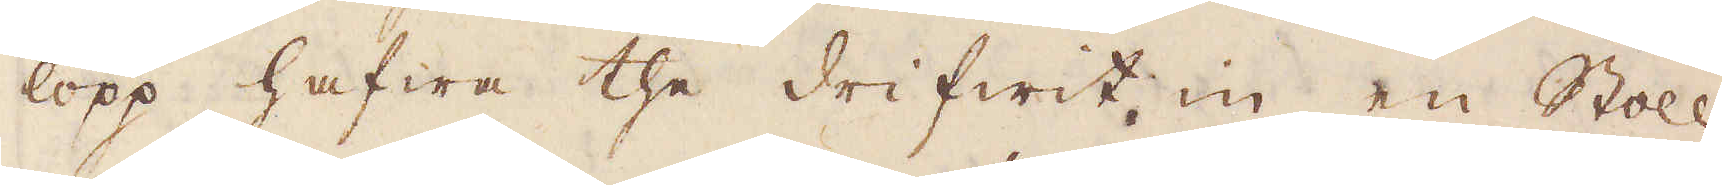lopp hafwa the drifwit in en Stoll,
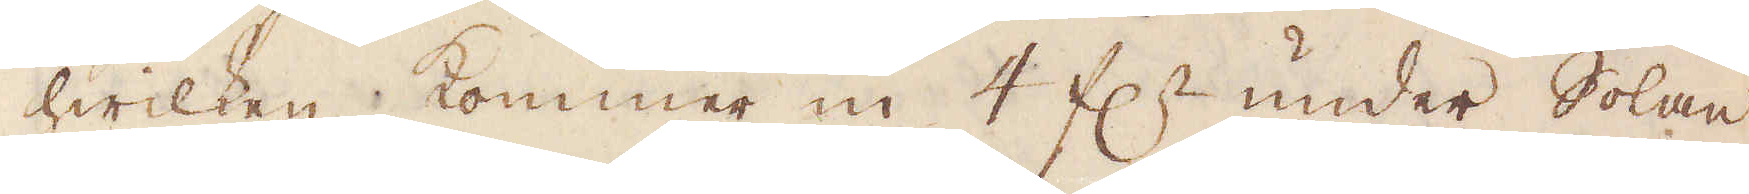hwilken kommer in 4 f:r under Solan,
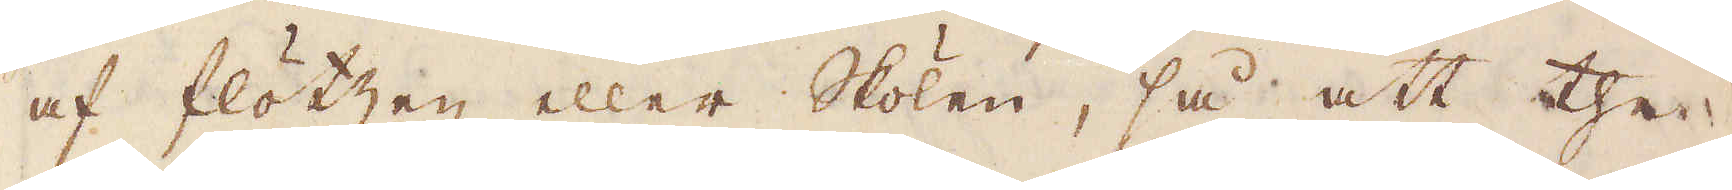af flötzen eller Skolen, så att the
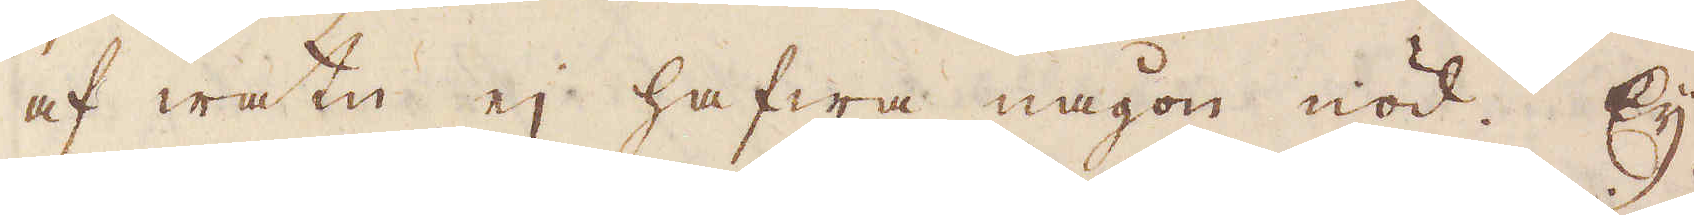af watn ej hafwa någon nöd. Ey
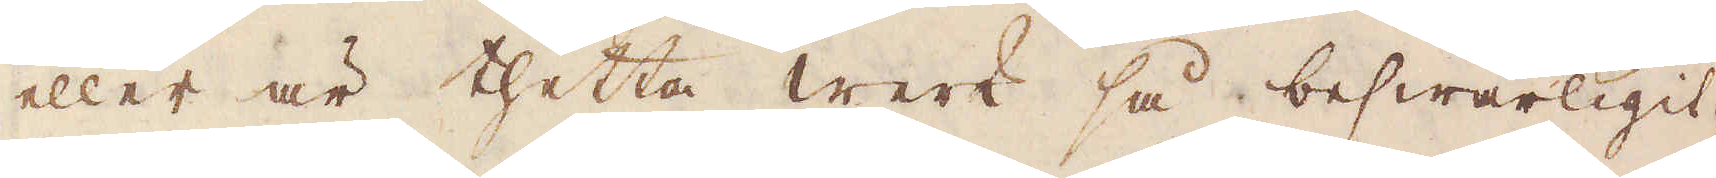eller är thetta werk så beswärligit,
